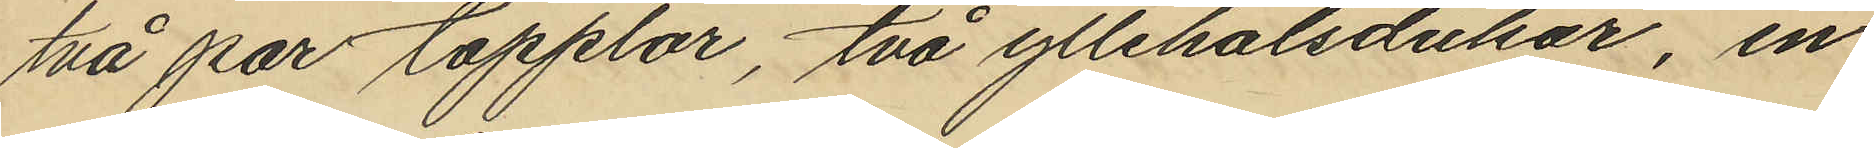två par topplor, två yllehalsdukar, en
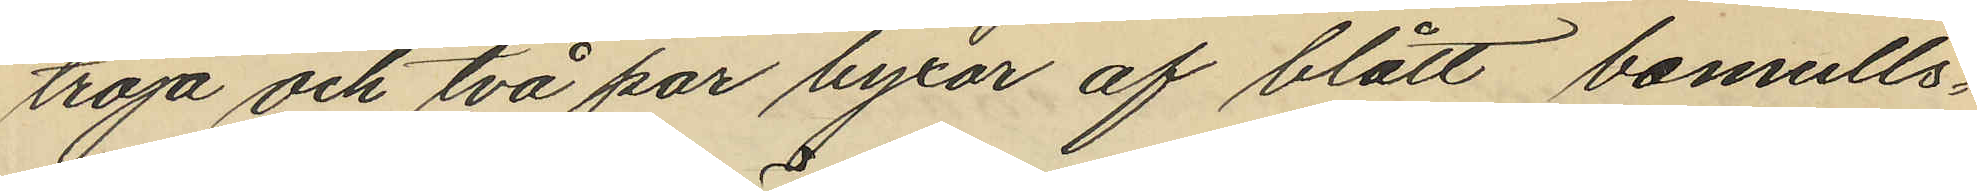troja och två par byxor af blått bomulls¬
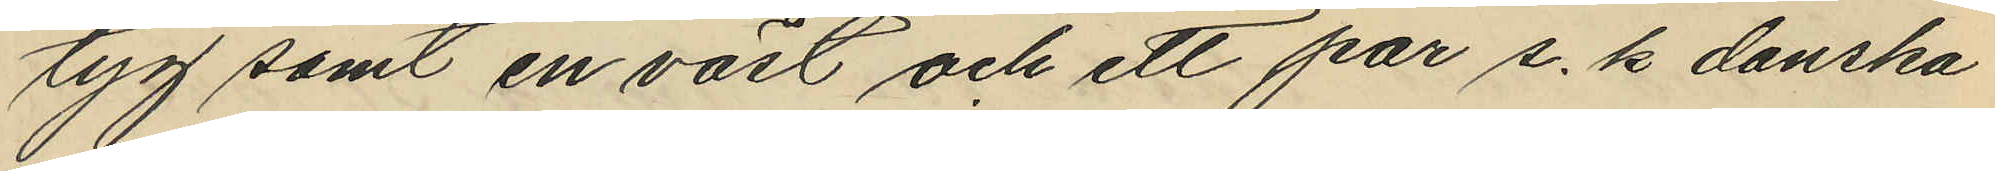tyg samt en väst och ett par s. k danska
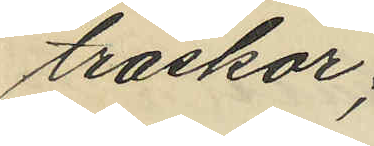träskor;
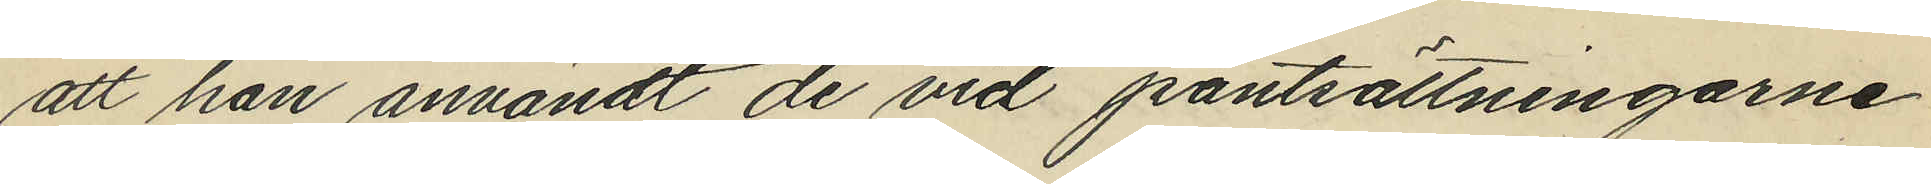att han användt de vid pantsättningarne
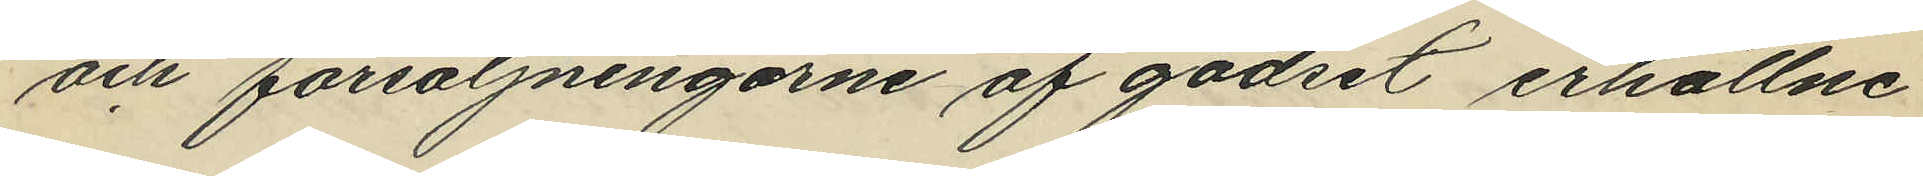och försäljningarne af godset erhållne
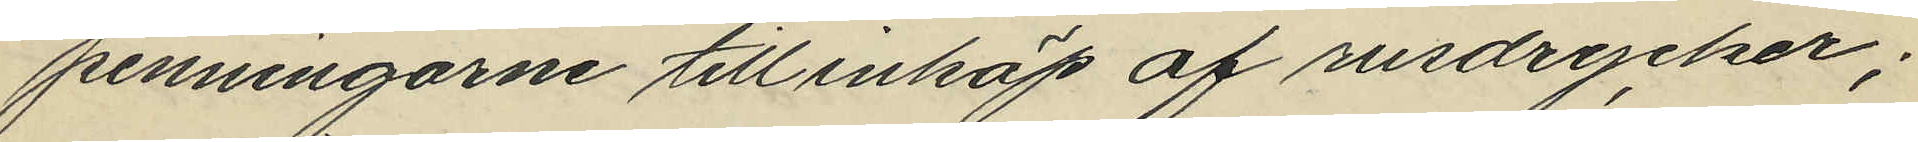penningarne till inköp af rusdrycker;
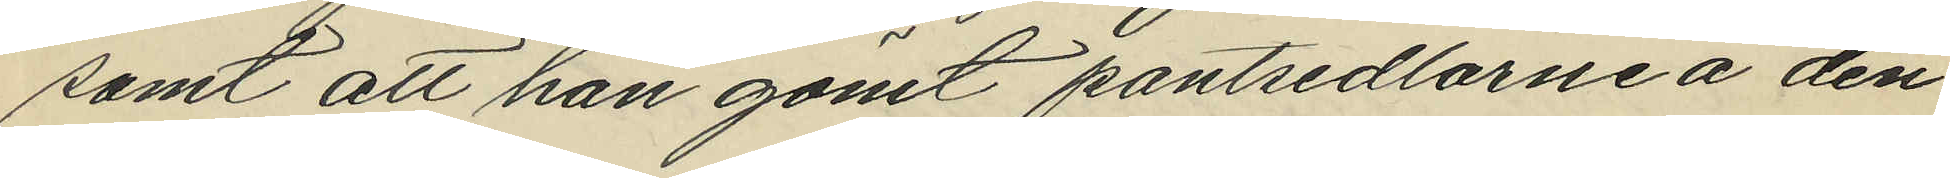samt att han gömt pantsedlarne å den
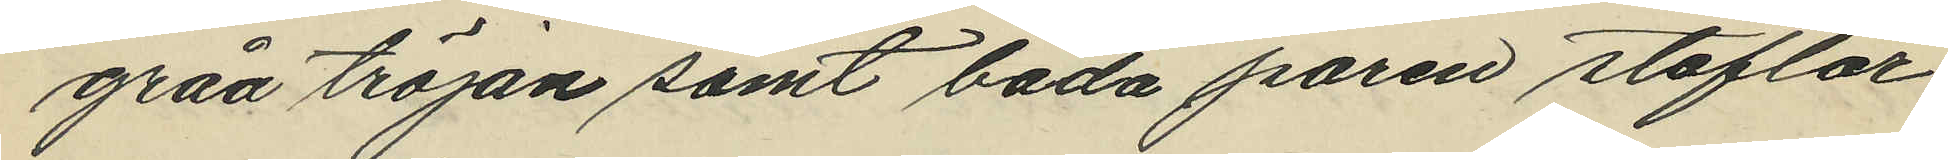gråa tröjan samt båda paren stöflar
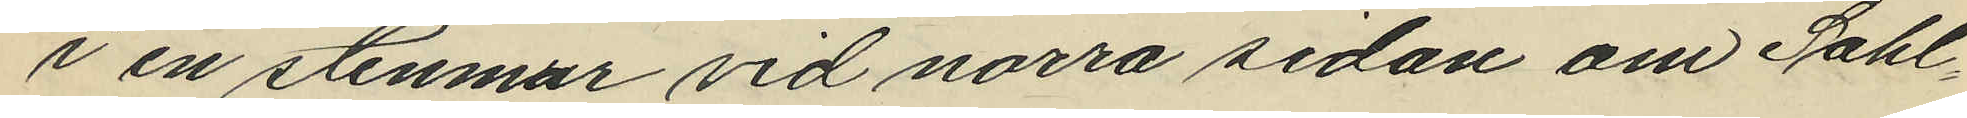i en stenmur vid norra sidan om Sahl¬
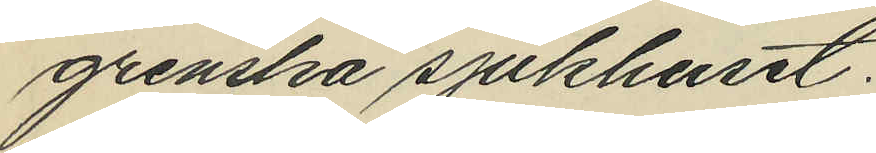grenska sjukhuset.
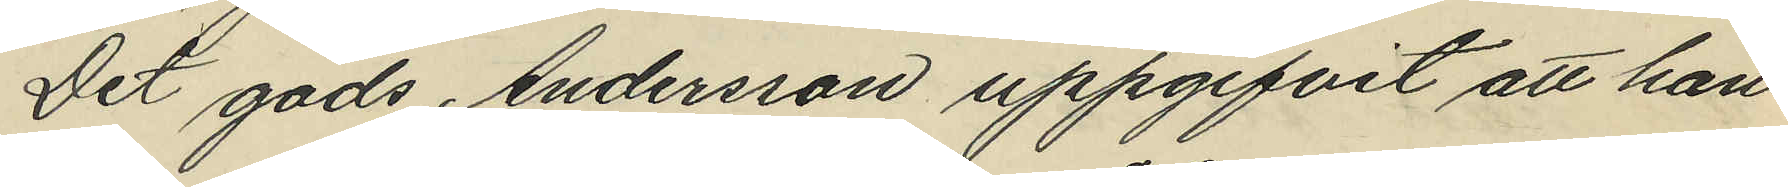Det gods Andersson uppgifvit att han
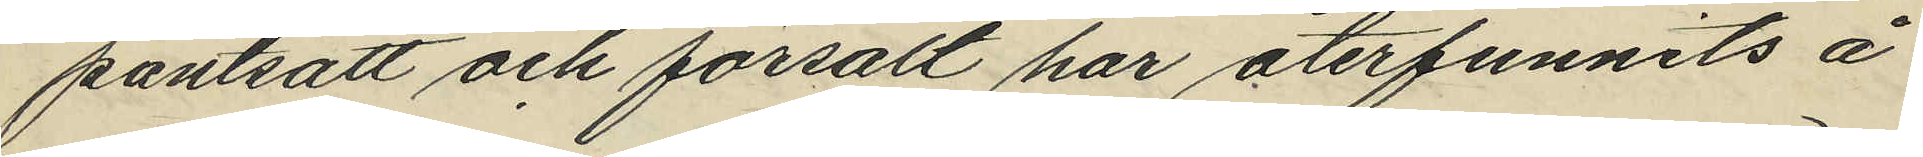pantsatt och försålt har återfunnits å
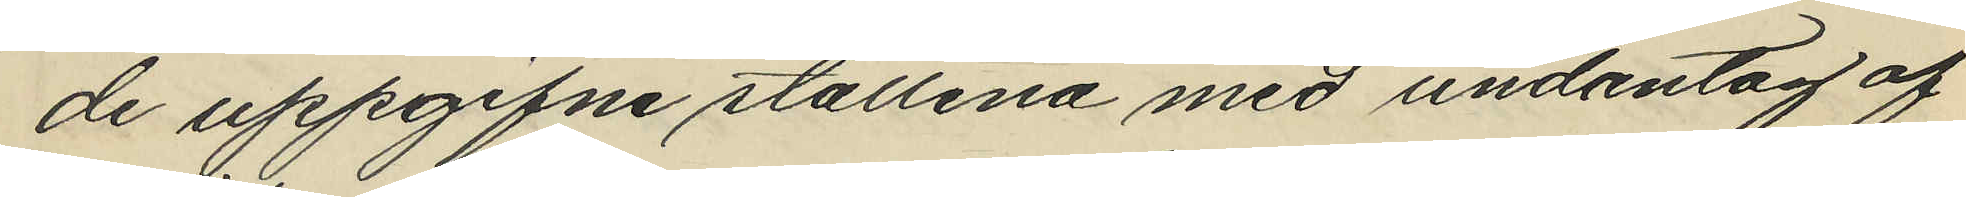de uppgifne ställena med undantag af
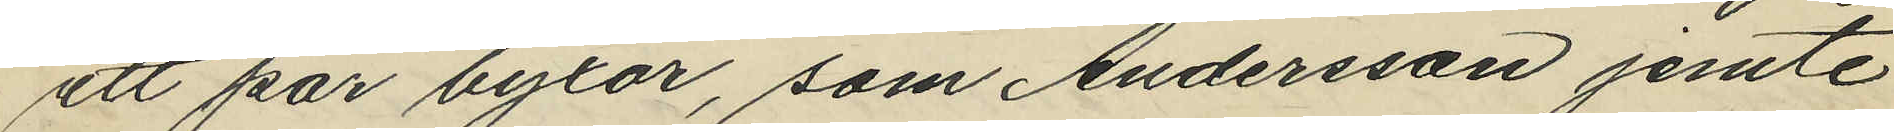ett par byxor, som Andersson jemte
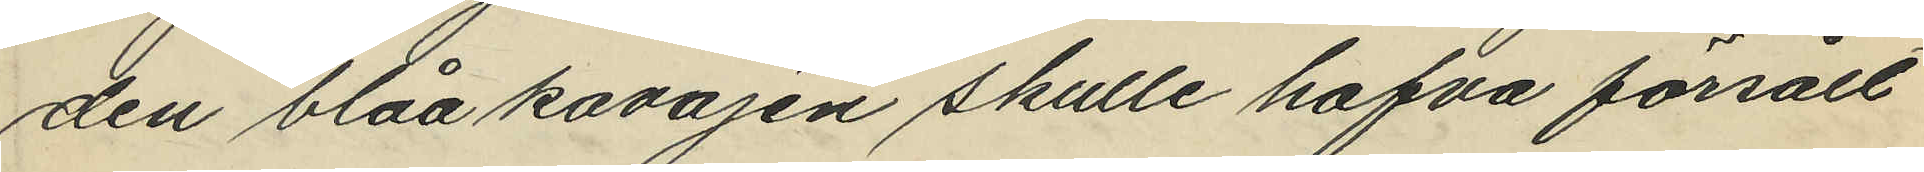den blåa kavajen skulle hafva försålt
